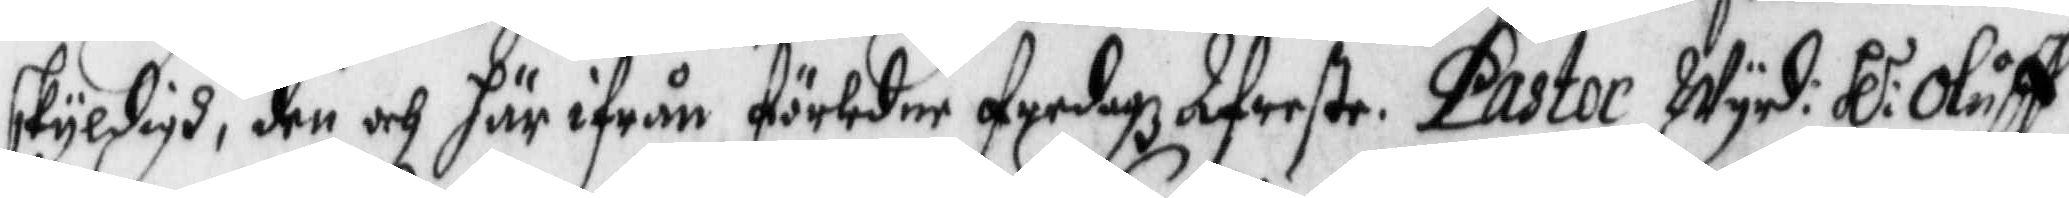skyldigh, den och här ifrån förledne fredagz Afreste. Pastor Wyrd: Hl: Oluff
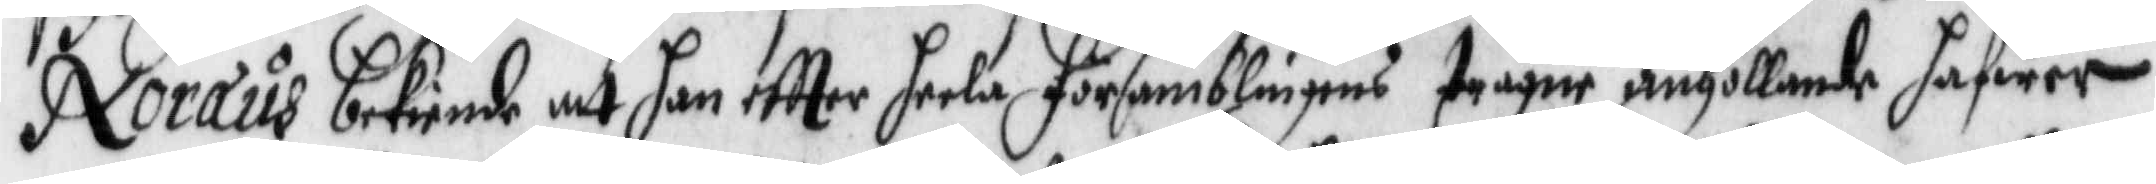Noræus bekiende att han eftter heela församblingens trägne anhollande hafwer
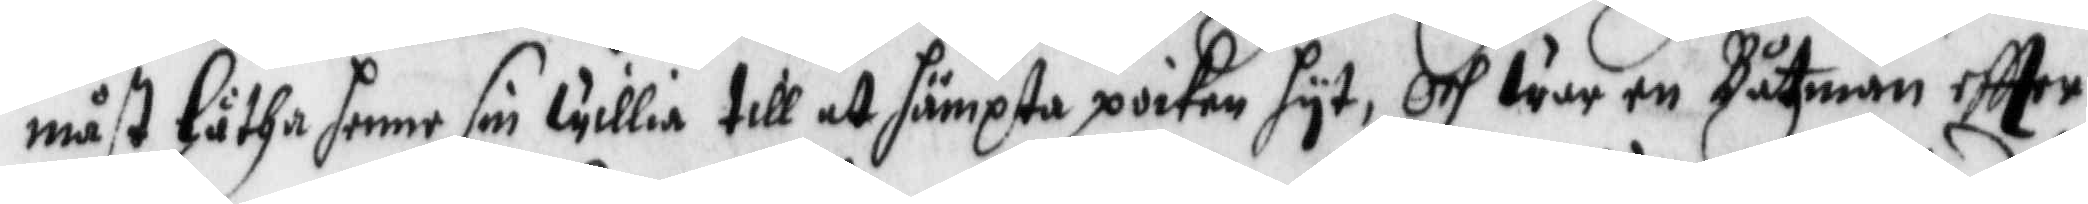måst låtha henne sin willia till at hämpta pioken hyt, Och war en Båtzman eftter
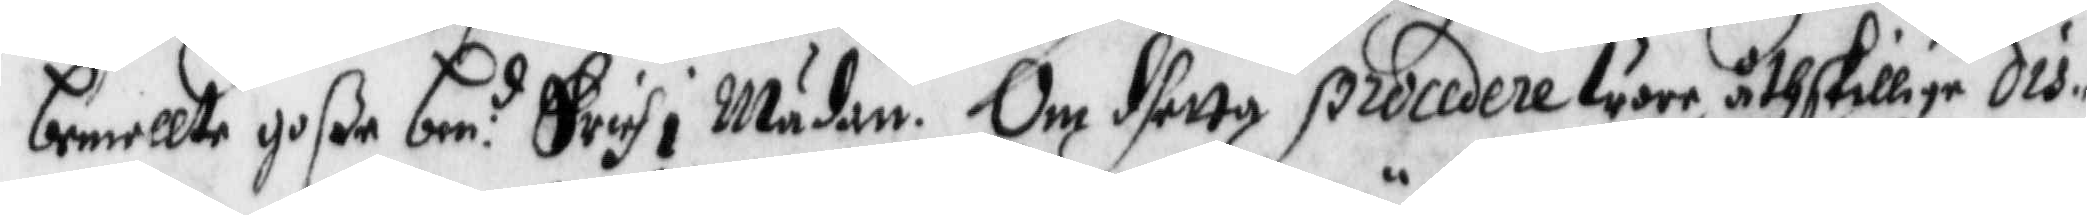bemellte goße ben:d Erich i Mädan. Om dhetta procedere ware åthskillige dis¬
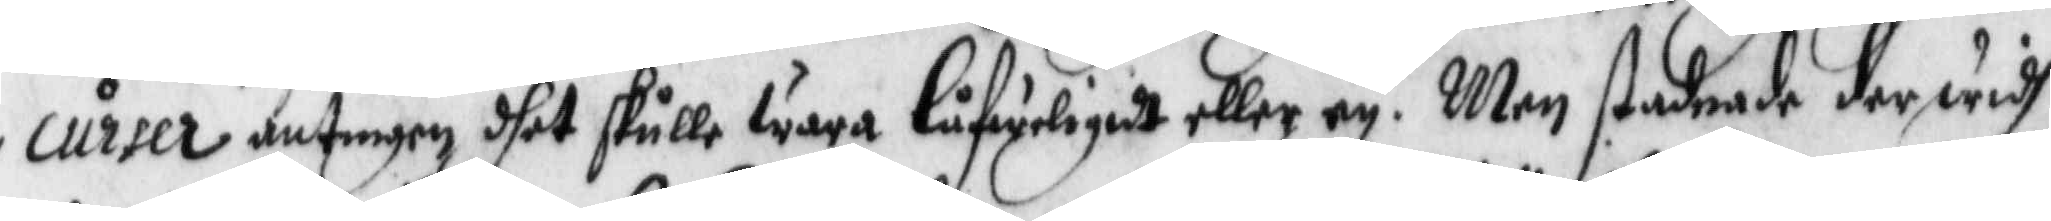curser antingen dhet skulle wara låfweligedt eller ey. Men stadnade derwidh
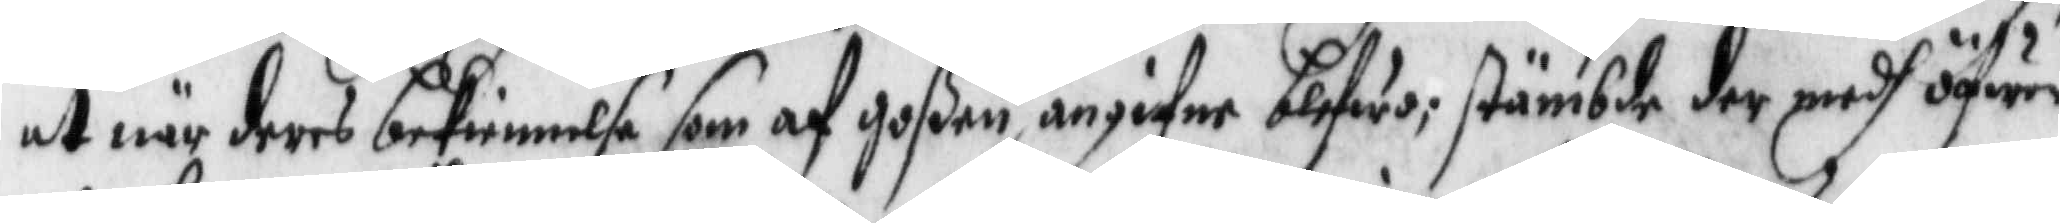at när deras bekiennelse som af goßen angifne blifwa; stämbde der medh öfwer¬
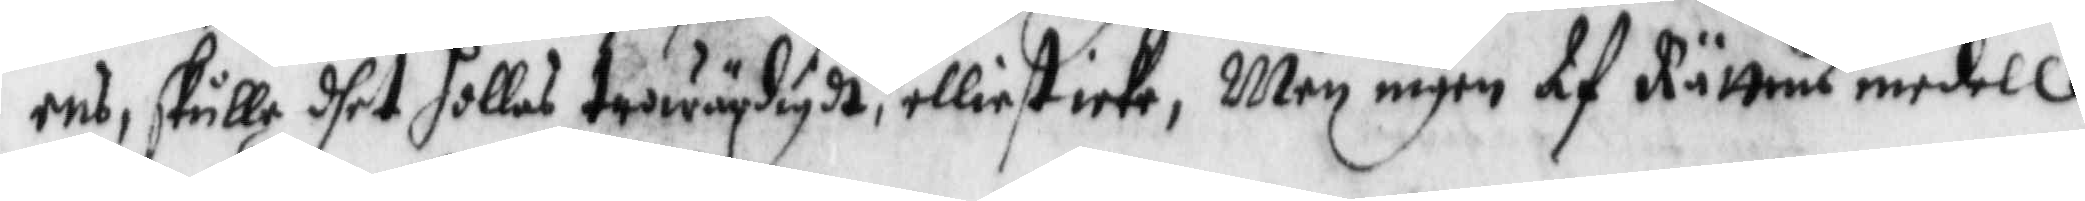ens, skulle dhet hollas trowärdigdt, elliest icke, Men ingen af Rättens medell
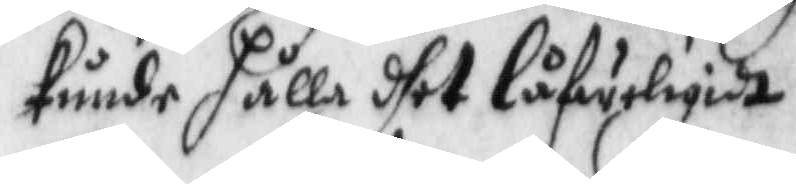kunde hålla dhet låfweligidt.
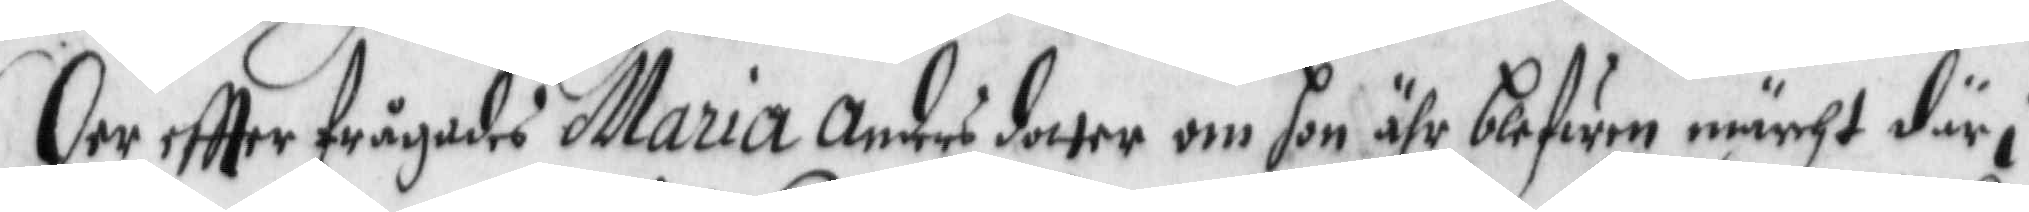Der eftter frågades Maria Anders dotter om hon ähr blefwen märcht där i
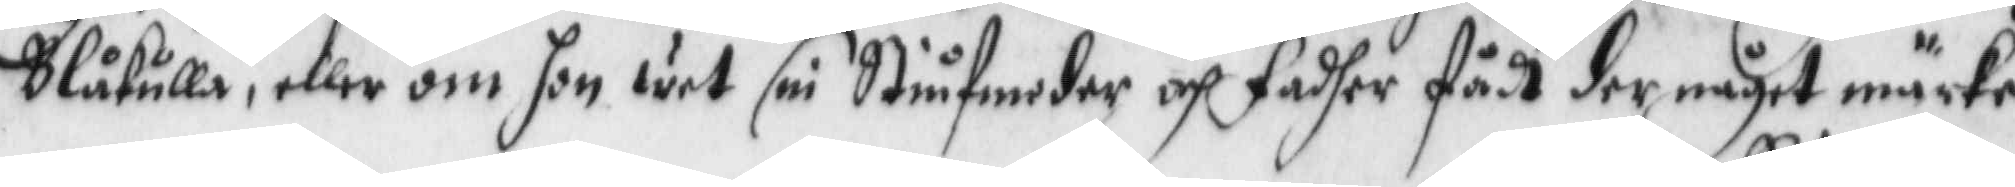Blåkulla, eller om hon wet sin Stiufmoder och fadher fådt der något märke
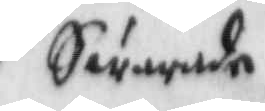Swarade
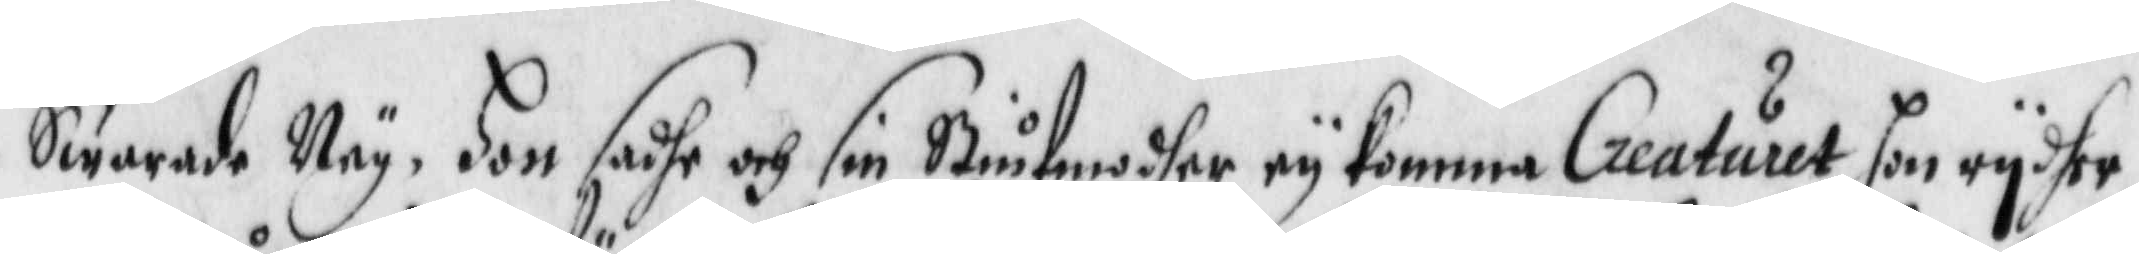Swarade Ney. Hon sadhe och sin Stiufmodher ey komma Creaturet hon rydher
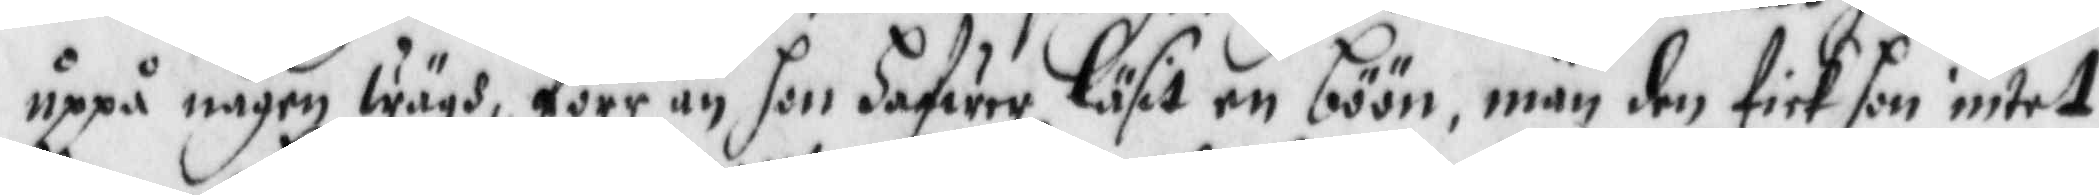uppå någon wägh, förr än hon hafwer Läsit en böön, män den fick honintet
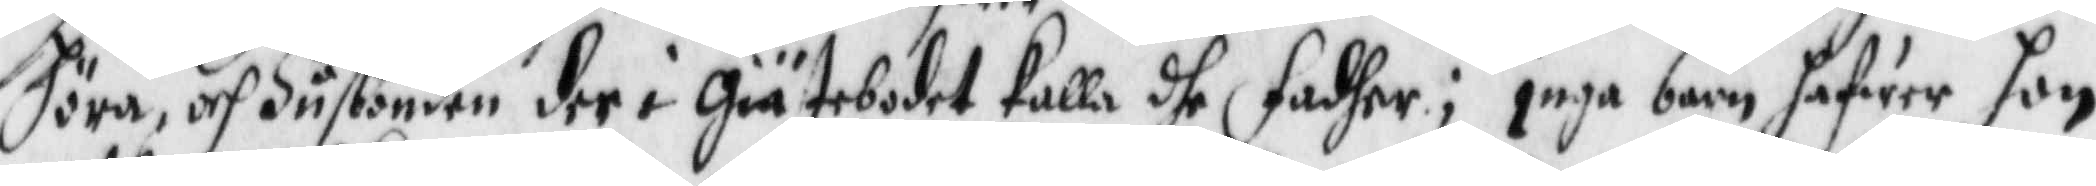höra, och Husbonden der i Giästebodet kalla dhe fadher; inga barn hafwer hon
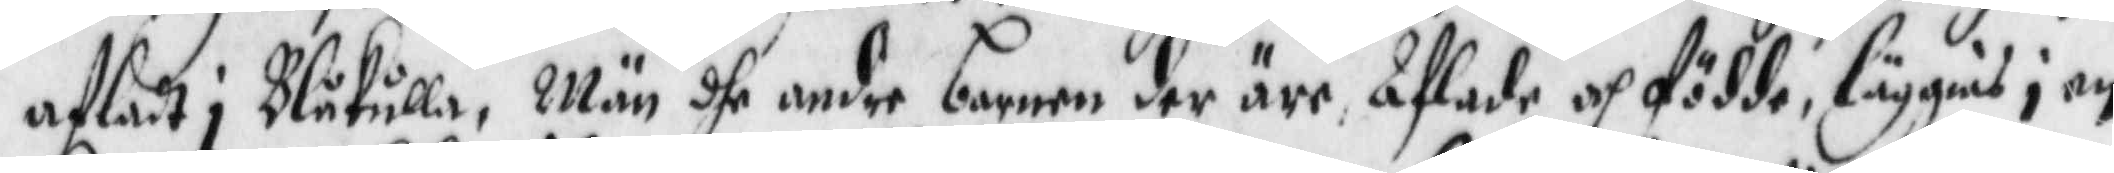afladt i Blåkulla, Män dhe andre barnen der äre, Afladhe och födde, läggias i en
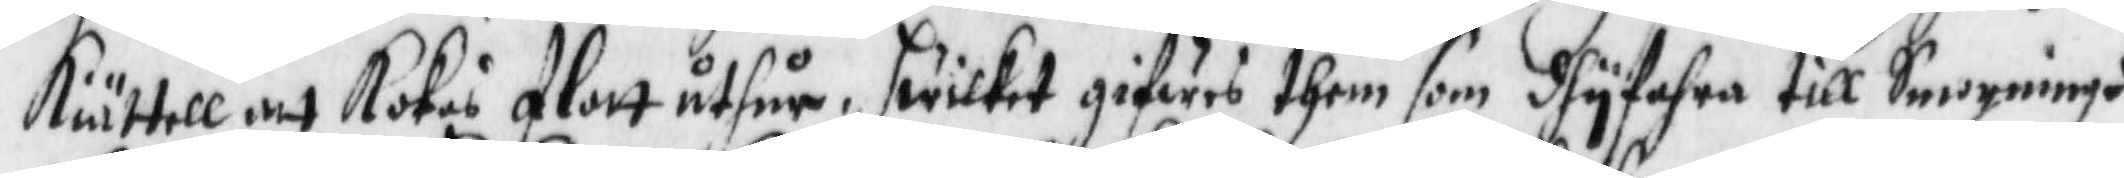Kiättell att kokas flott uthur, hwilket gifwes them som dhutfahra till Smorningh
